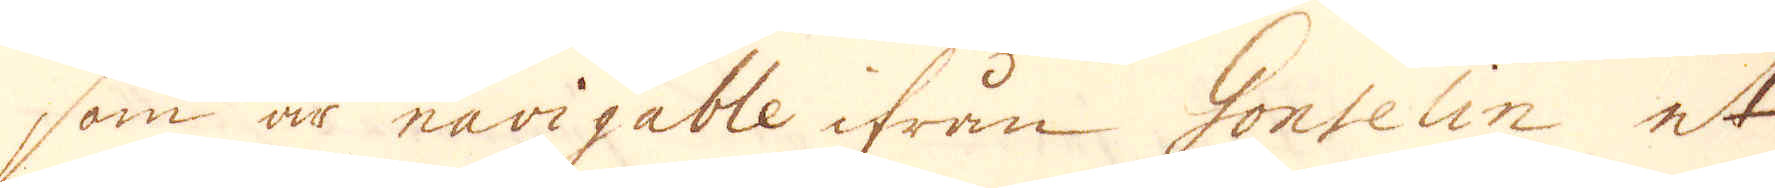som är navigable ifrån Gonselin et
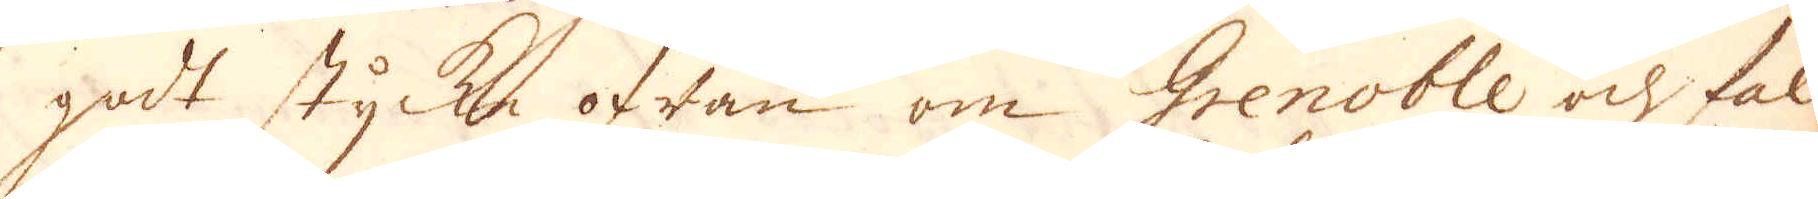godt stycke ofwan om Grenoble och fal-
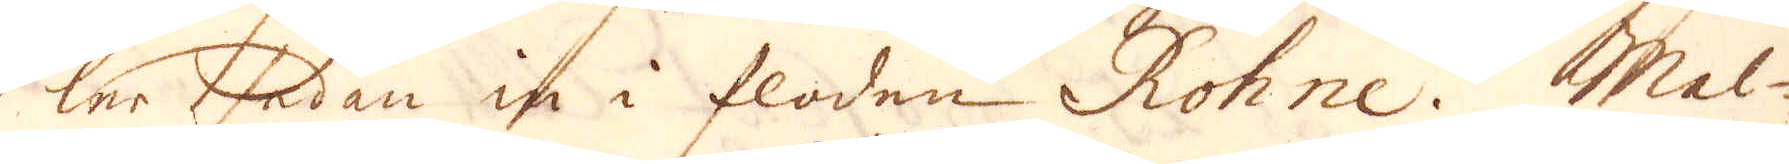ler sedan in i floden Rohne. Mal-
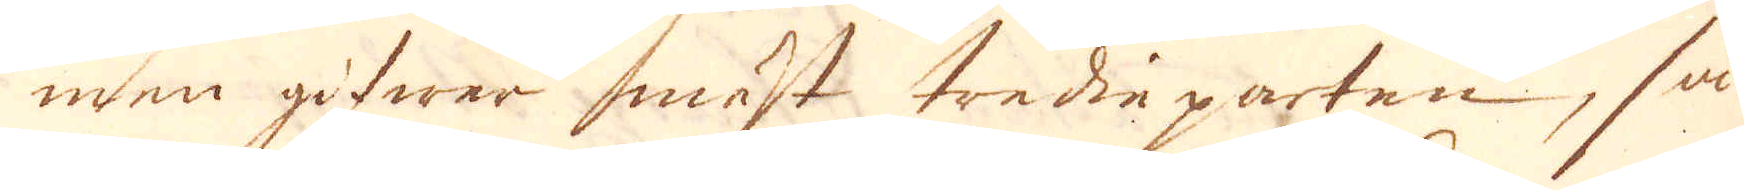men gifwer mäst tredieparten, så
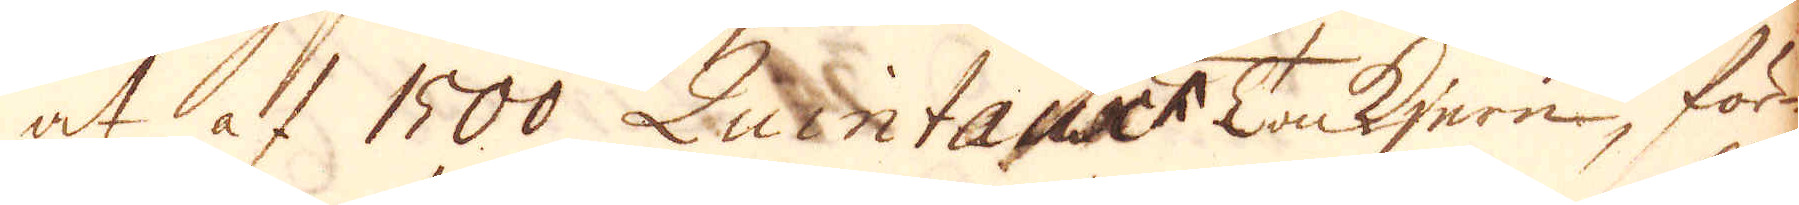at at 1500 Quintanter Tankjern, för-
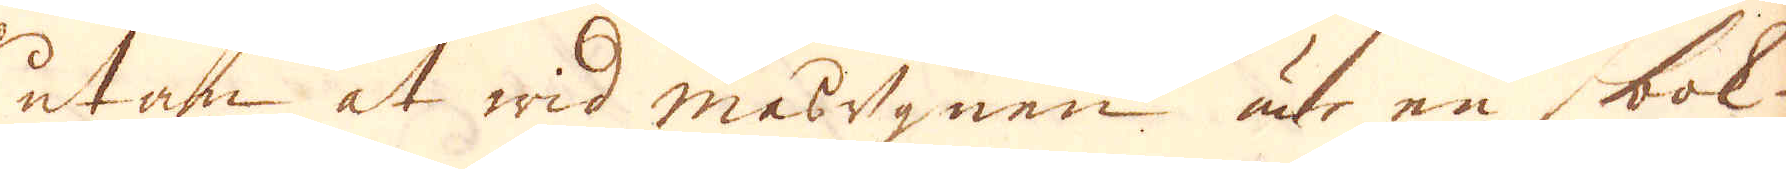utan at wid masugnen är en bok-
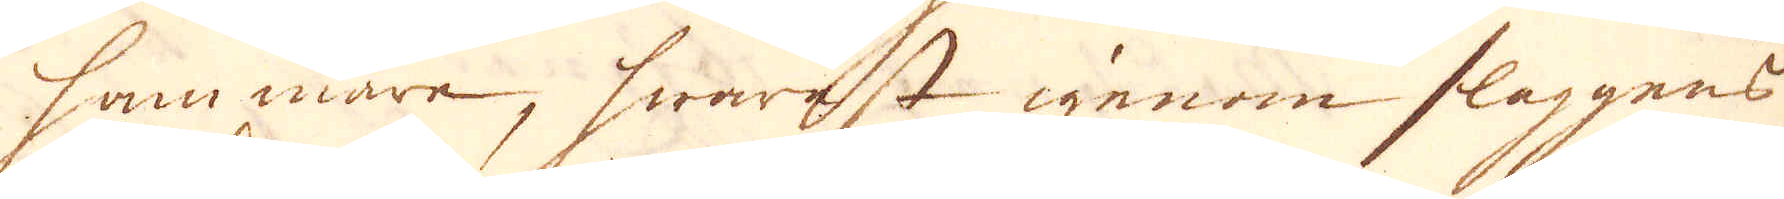hammare, hwarest igenom slaggens
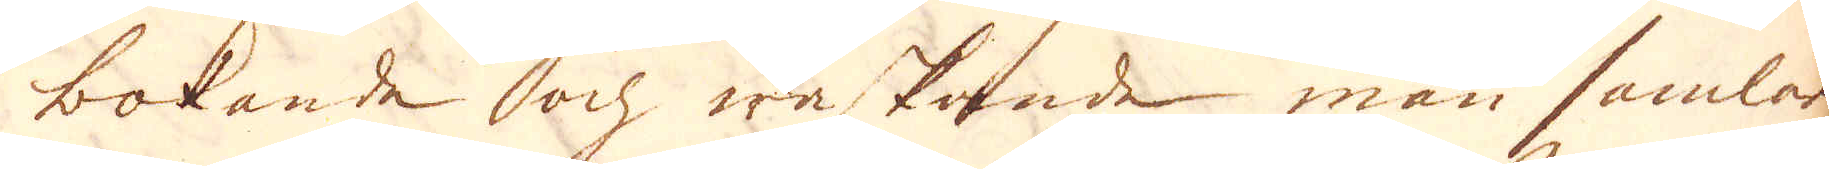bokande ochwaskande man samlar
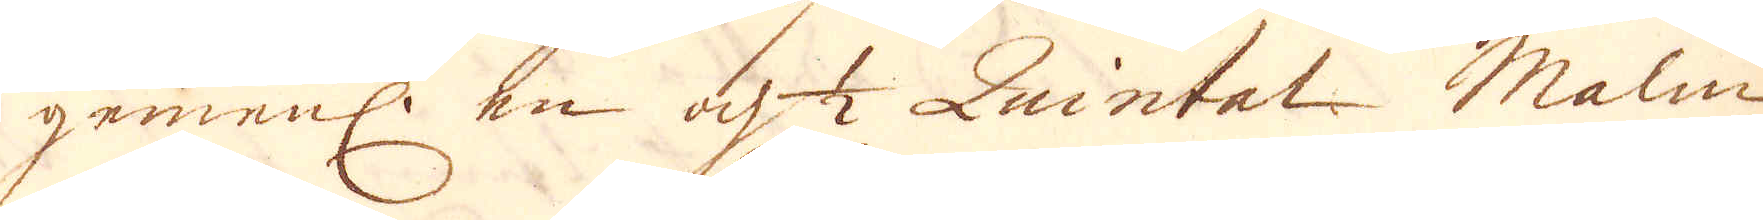gemenl. en och 1/2 Quintal Malm
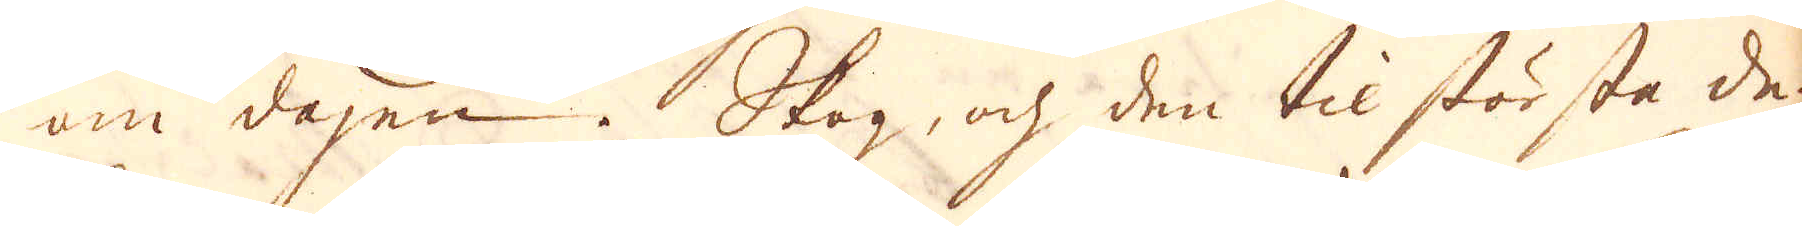om dagen. Skog, och den til största de-
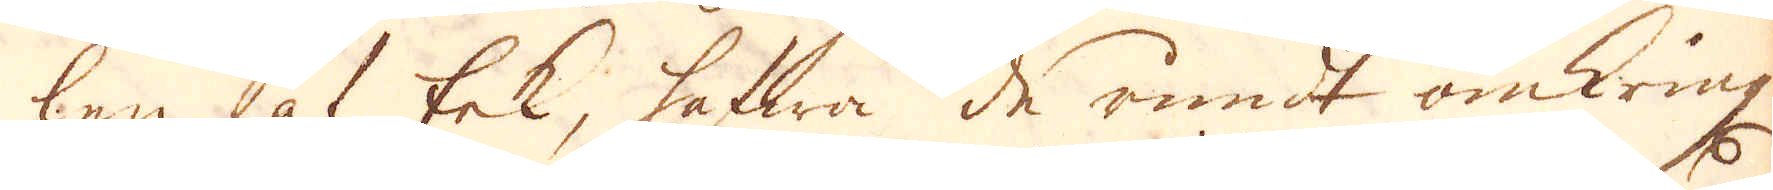len af Eek, hafwa de rundt omkring
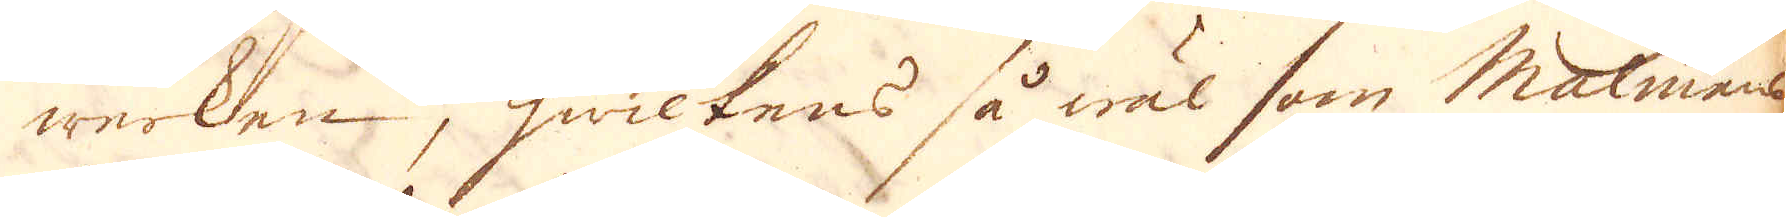werken, hwilkens så wäl som Malmens
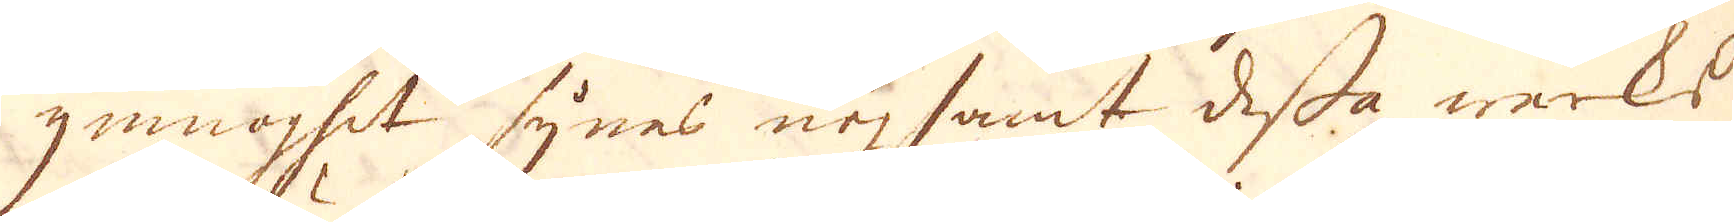ymnoghet synes nogsamt dessa werks
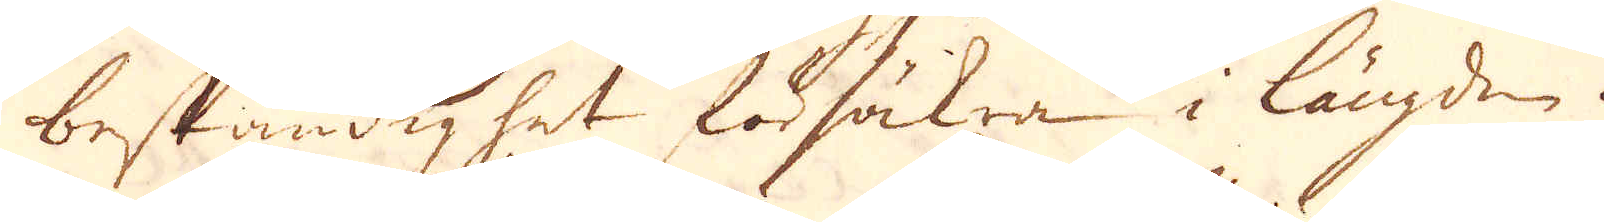beständighet försäkra i längden.
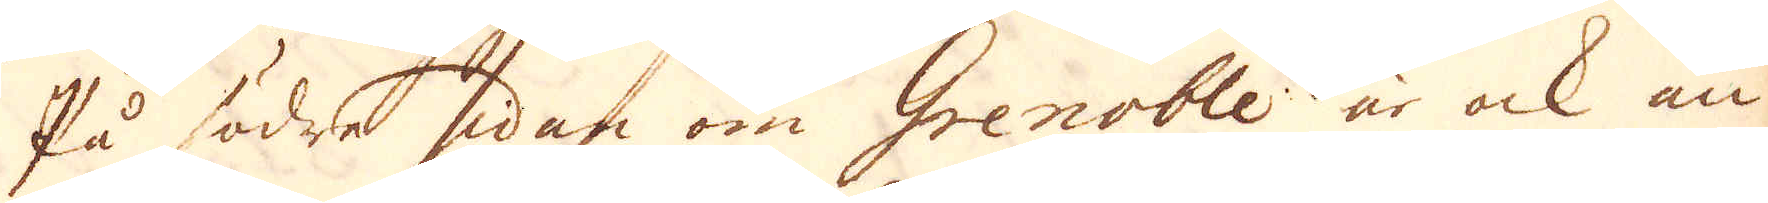På södra sidan om Grenoble är ock an-
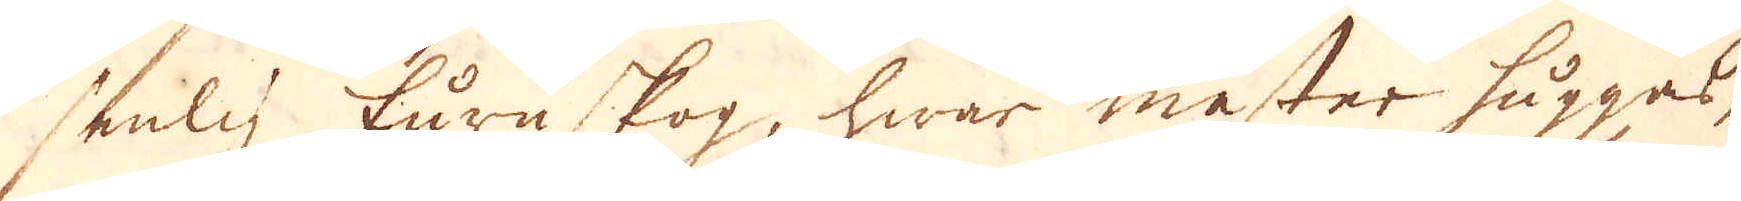senlig furuskog, hwar mester huggas,
